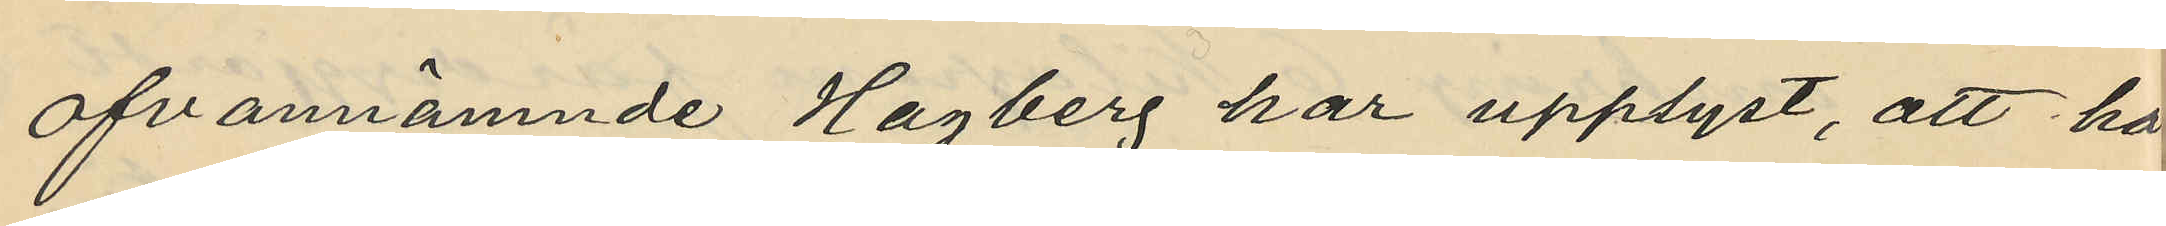ofvannämnde Hagberg har upplyst, att ha
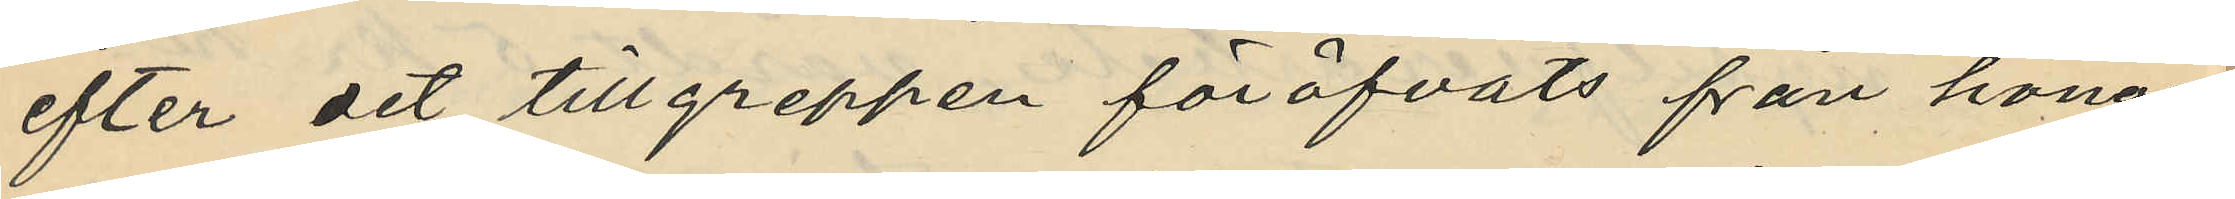efter det tillgreppen föröfvats från honom
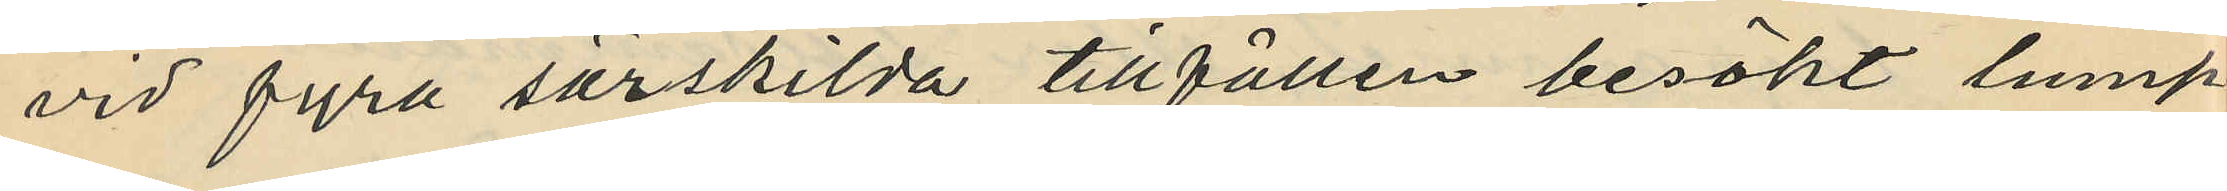vid fyra särskilda tillfällen besökt lump¬
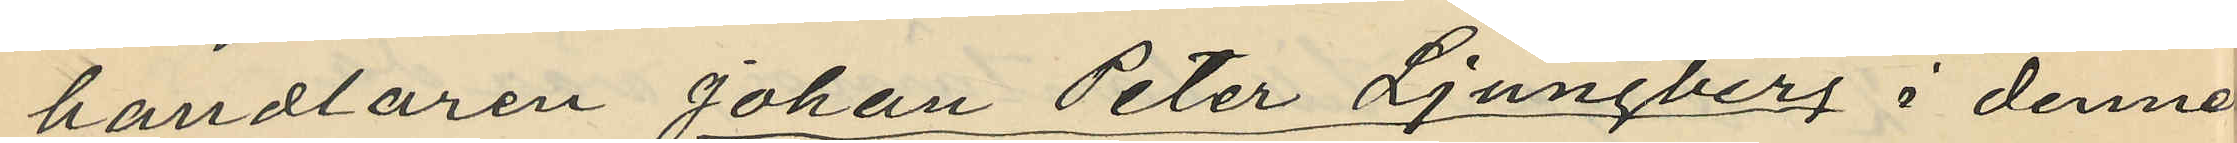handlaren Johan Peter Ljungberg i dennes
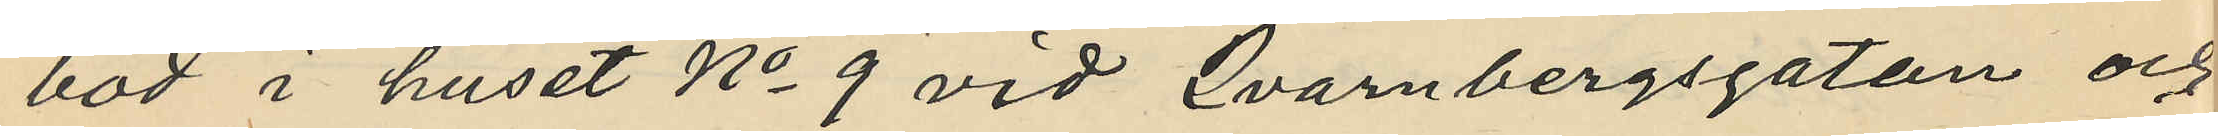bod i huset No 9 vid Qvarnbergsgatan och
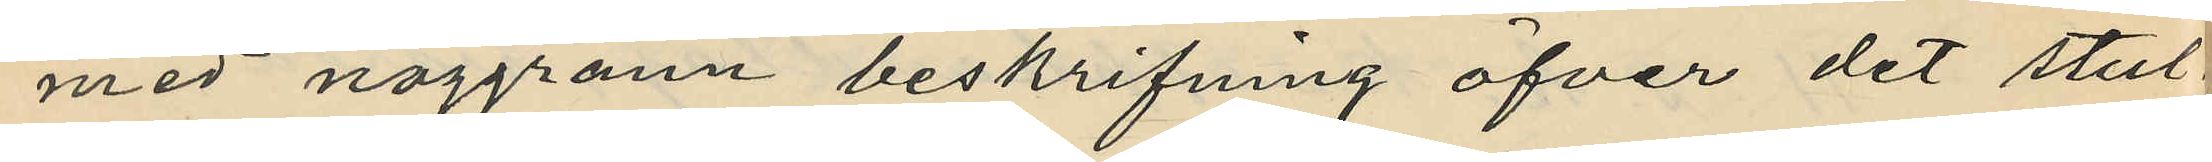med noggrann beskrifning öfver det stul¬
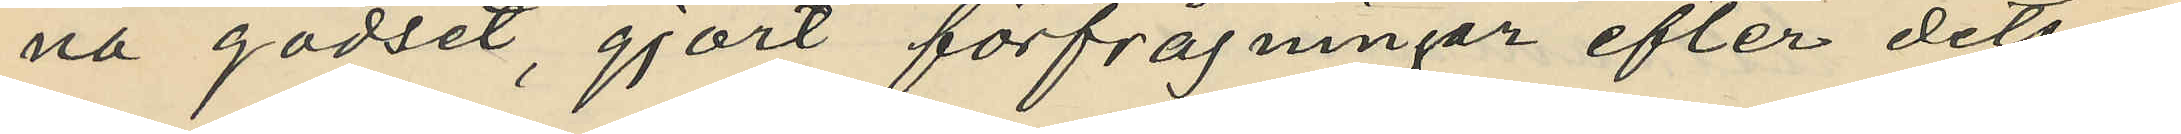na godset, gjort förfrågningar efter detsam¬
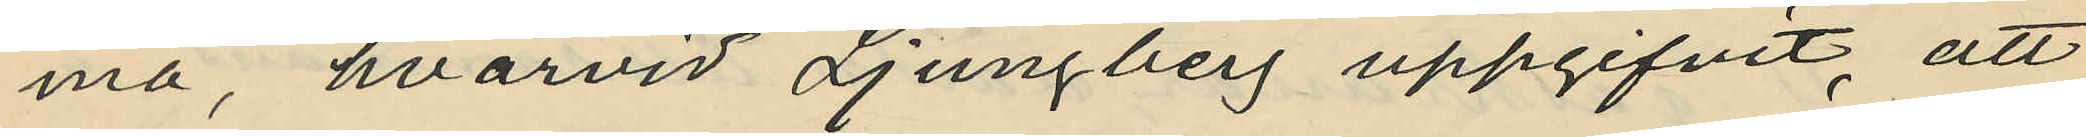ma, hvarvid Ljungberg uppgifvit, att
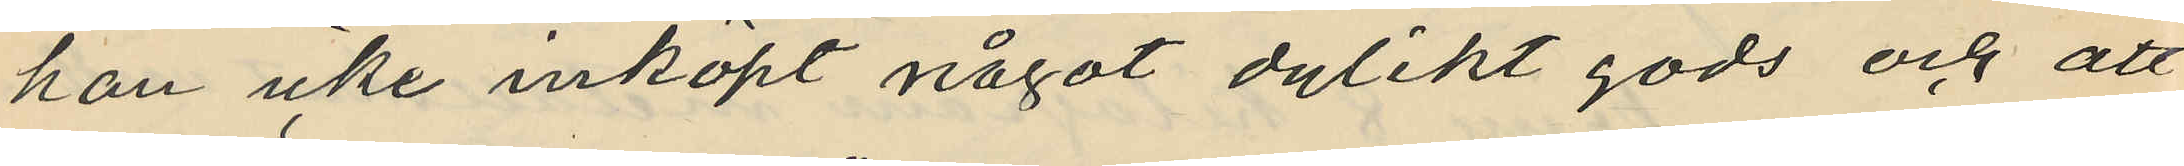han icke inköpt något dylikt gods och att
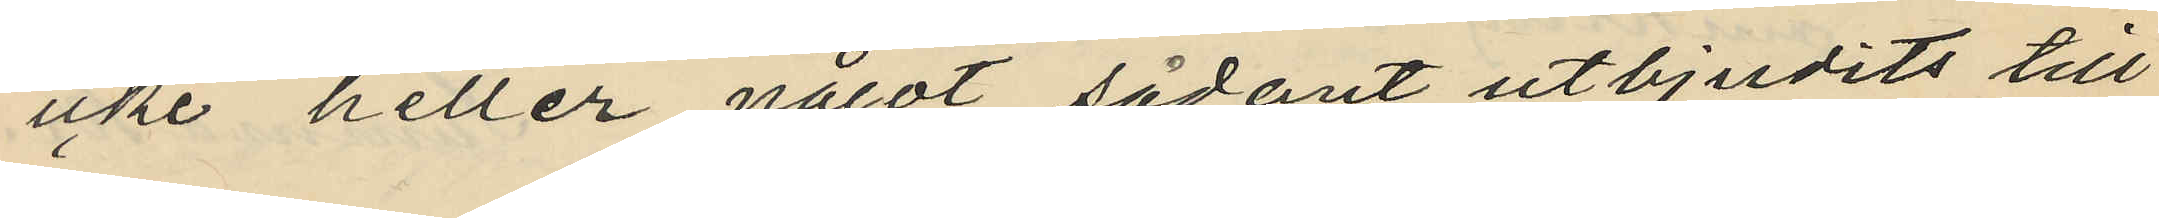icke heller något sådant utbjudits till
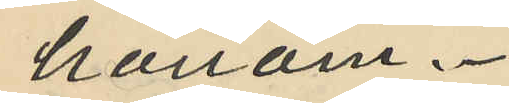honom.
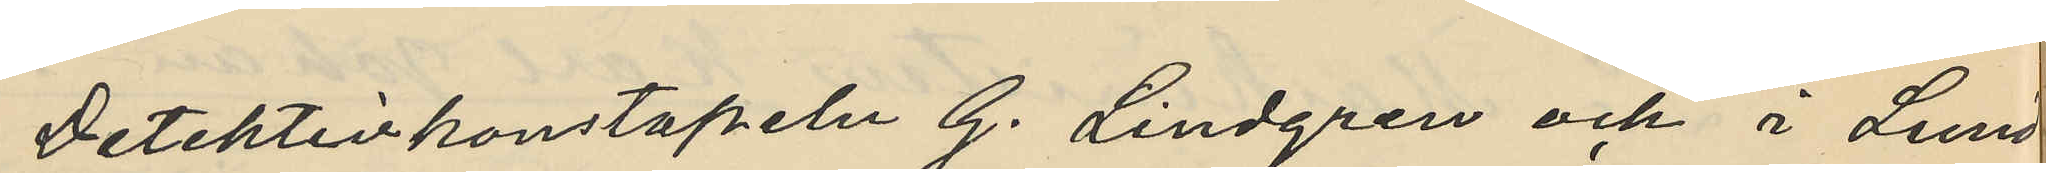Detektivkonstapeln G. Lindgren och i Lund¬
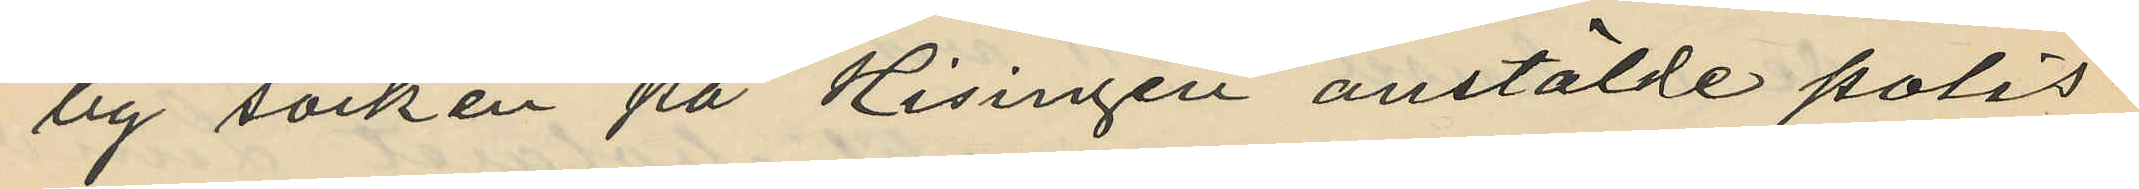by socken på Hisingen anstälde polis¬
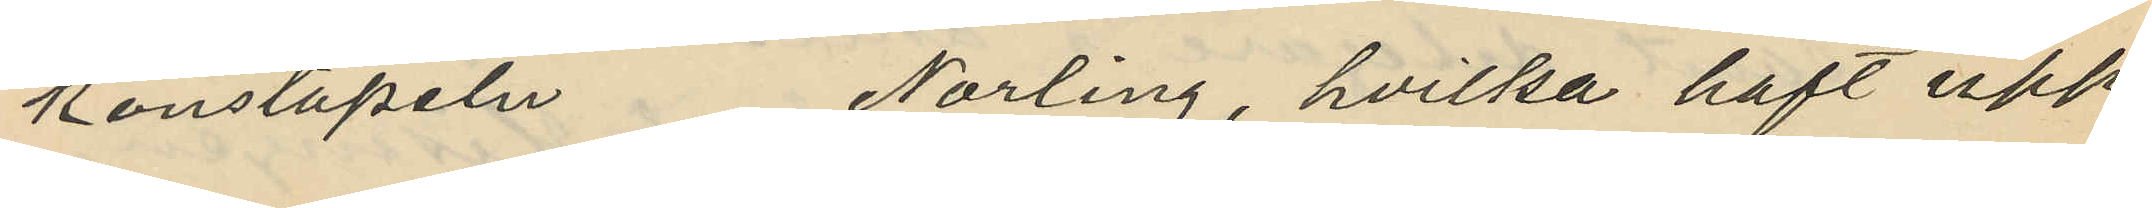konstapeln Norling, hvilka haft upp¬
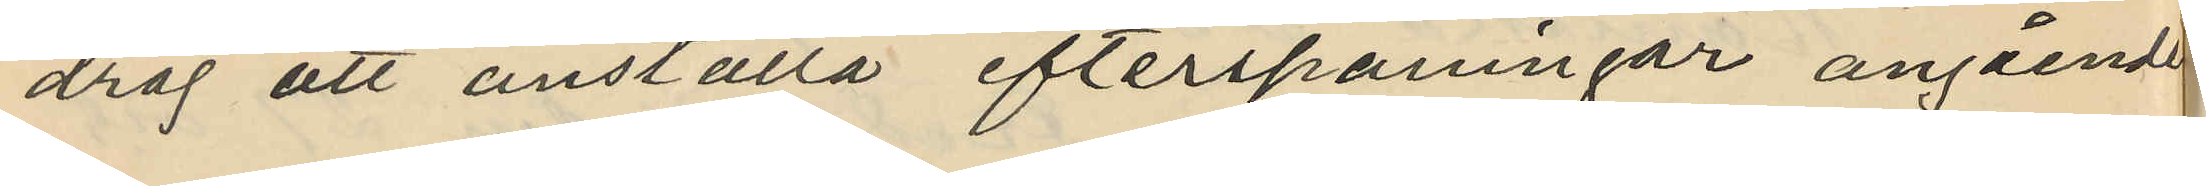drag att anställa efterspaningar angående
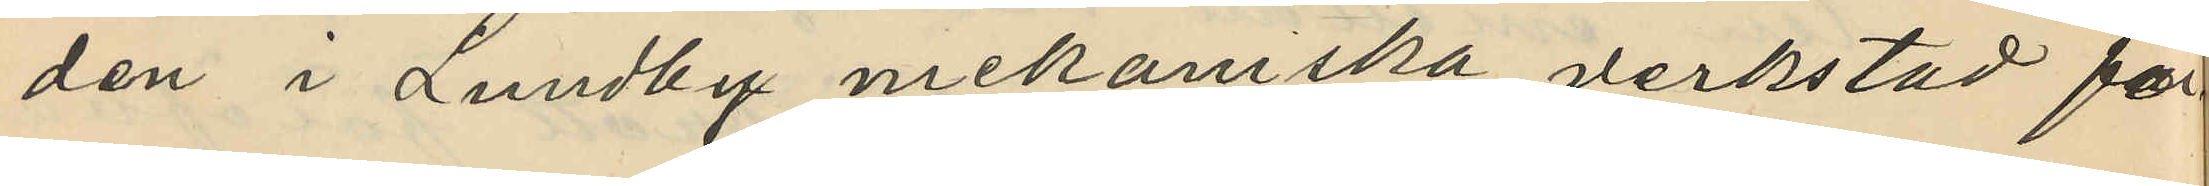den i Lundby mekaniska verkstad för
